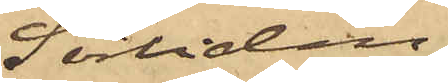Sörliden,
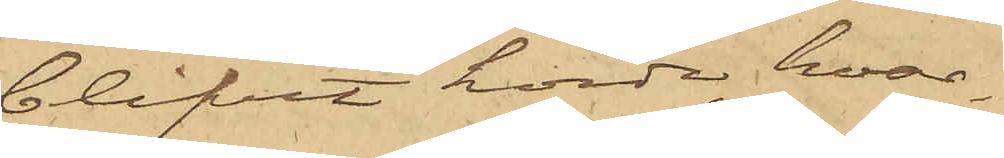blifvit hörde, hvar¬
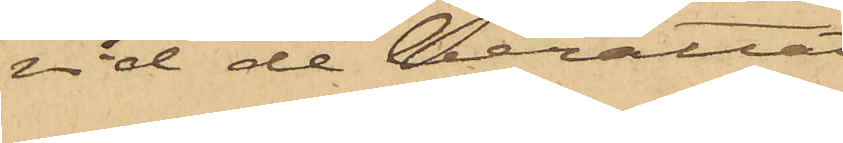vid de berättat:
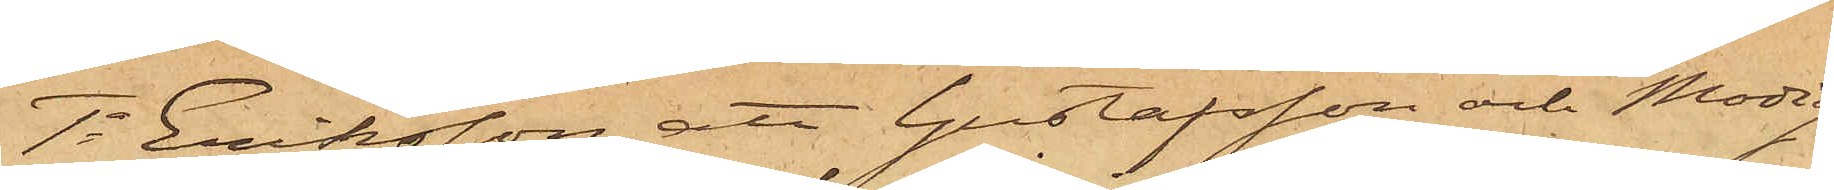1o Eriksson, att Gustafsson och Modig
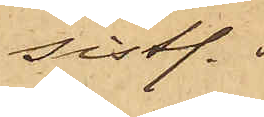sistl.
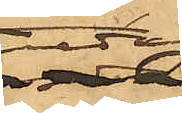Fredag
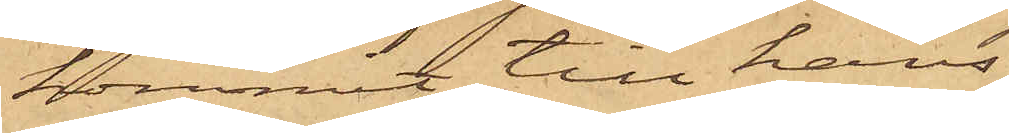kommit till hans
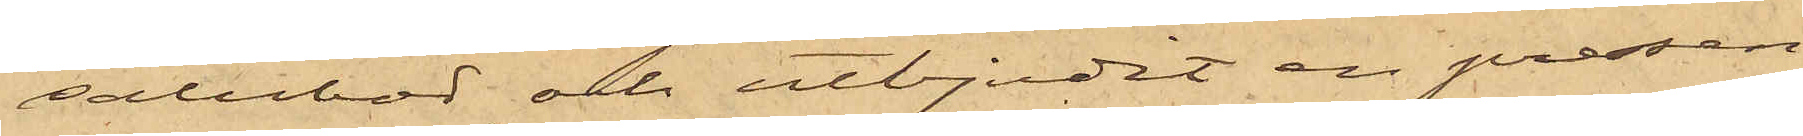salubod och utbjudit en pressen¬
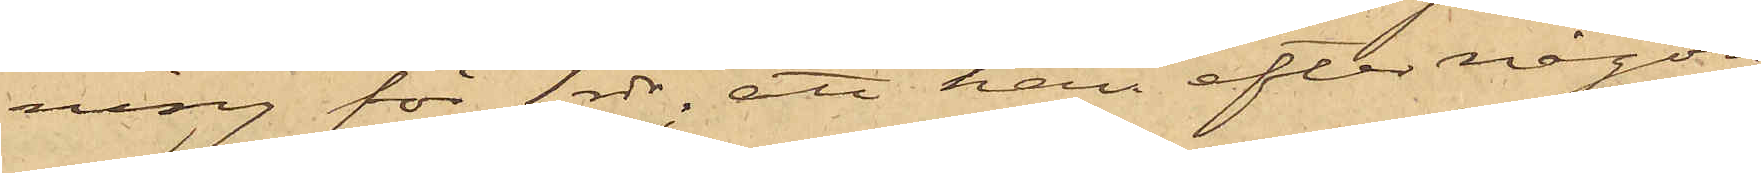ning för 1 rdr, att han efter någon
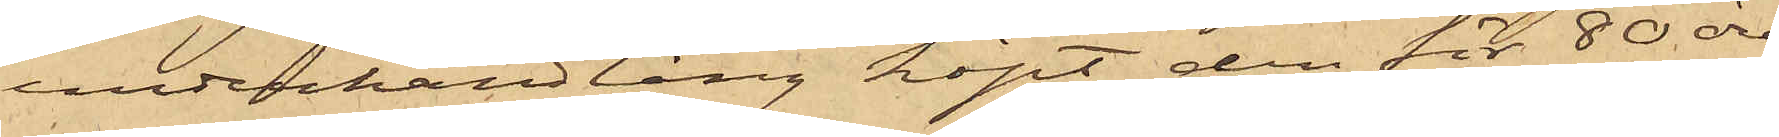underhandling köpt den för 80 öre;
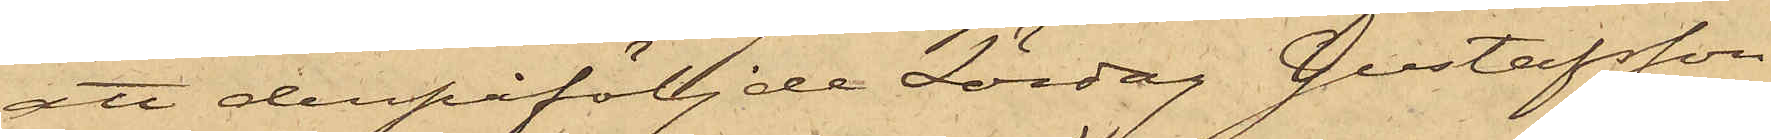att derpåföljde Lördag Gustafsson
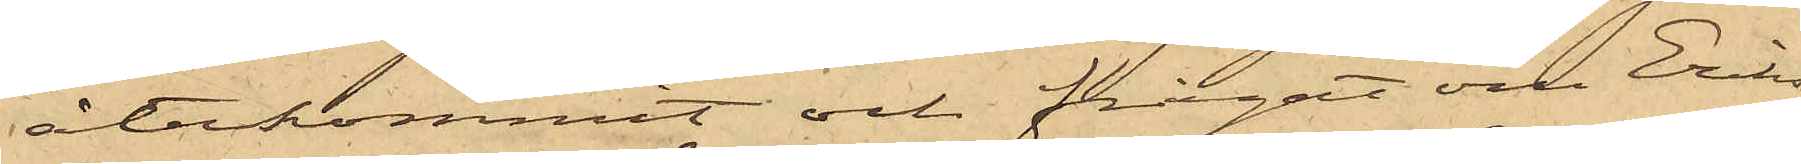återkommit och frågat om Eriks¬
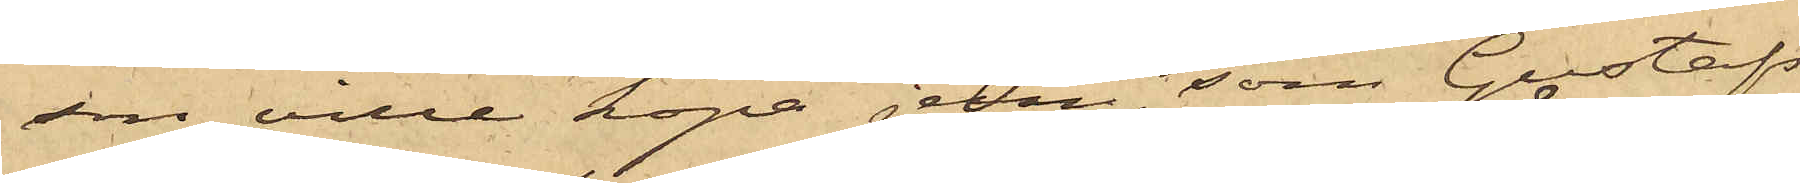son ville köpa jern, som Gustafs¬
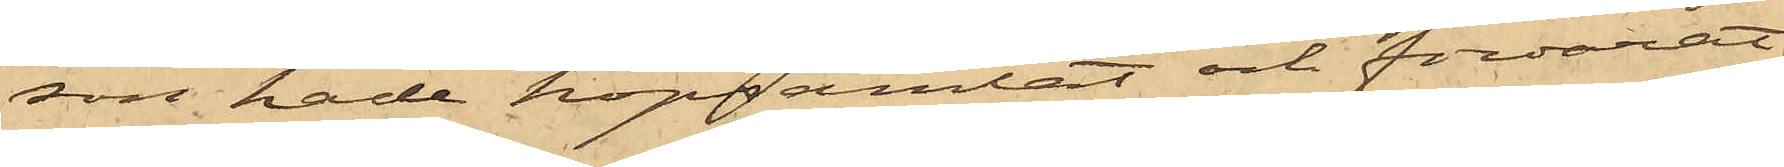son hade hopsamlat och förvarat
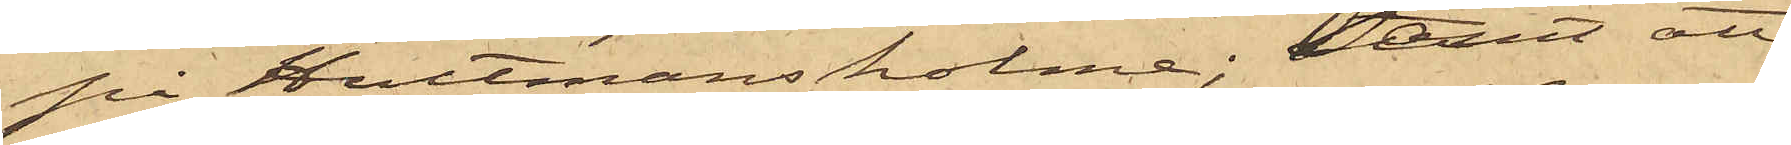på Hultmans holme; samt att
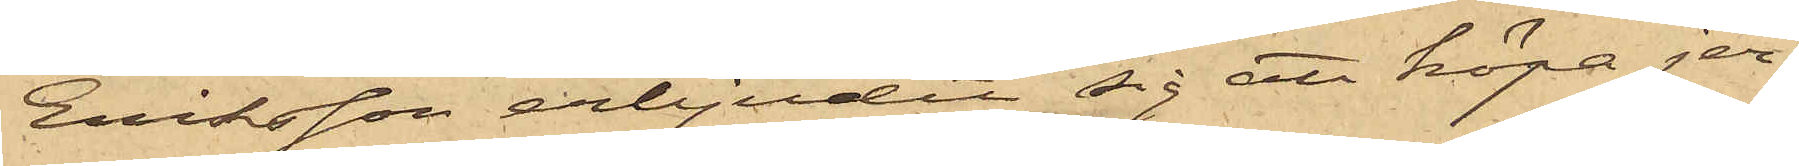Eriksson erbjudit sig att köpa jer¬
